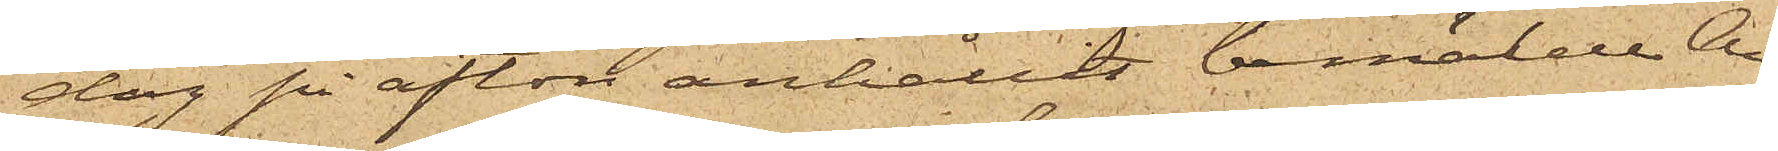dag på afton anhållit bemälde Au¬
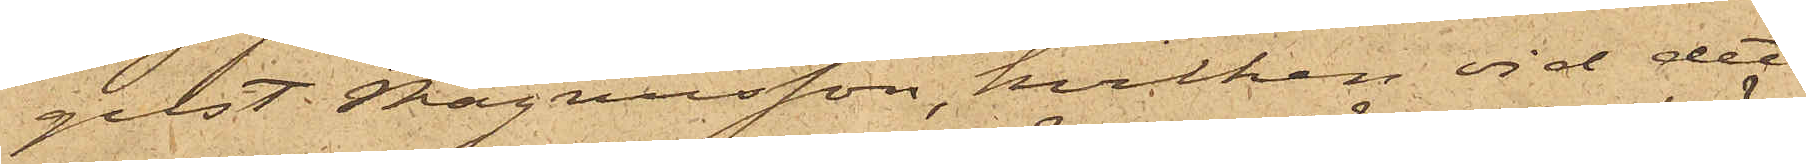gust Magnusson, hvilken vid det
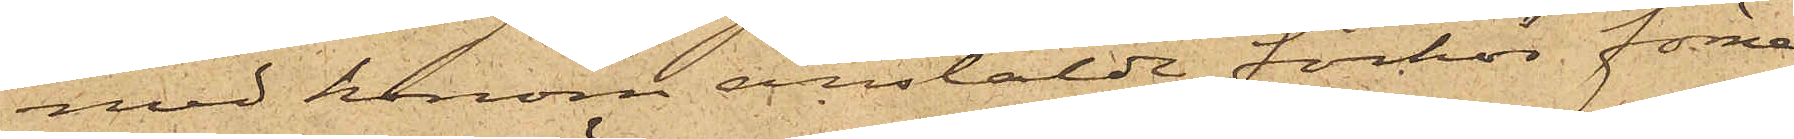med honom anstälde förhör förne¬
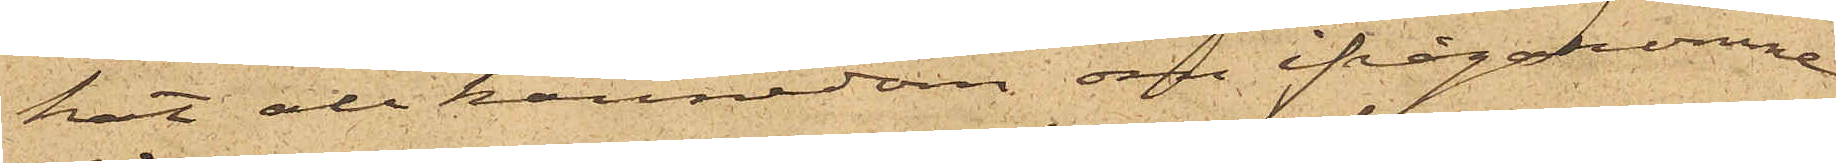kat all kännedom om ifrågakomne
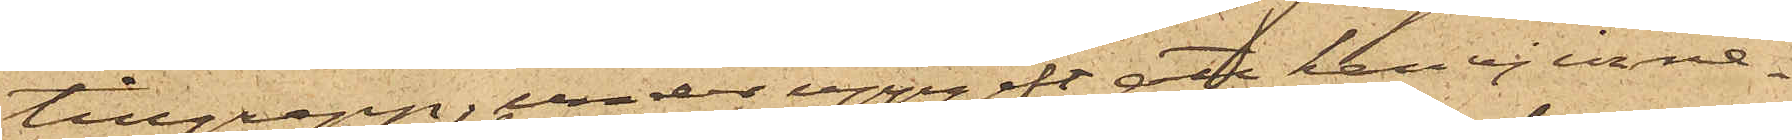tillgrepp, under uppgift att han ej inne¬
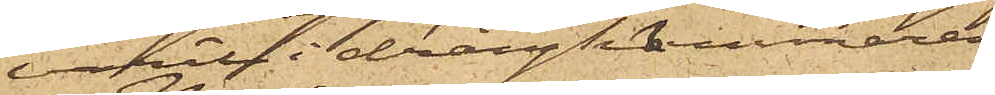varit i drängkammaren.
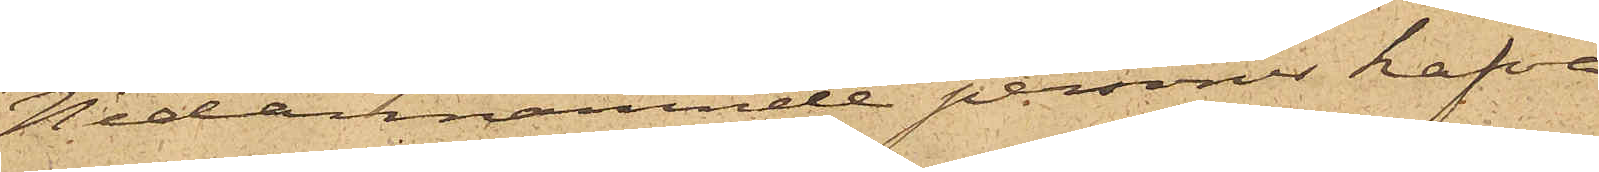Nedannämnde personer hafva
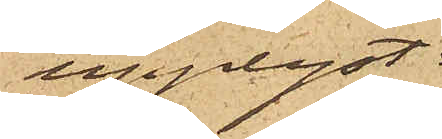upplyst:
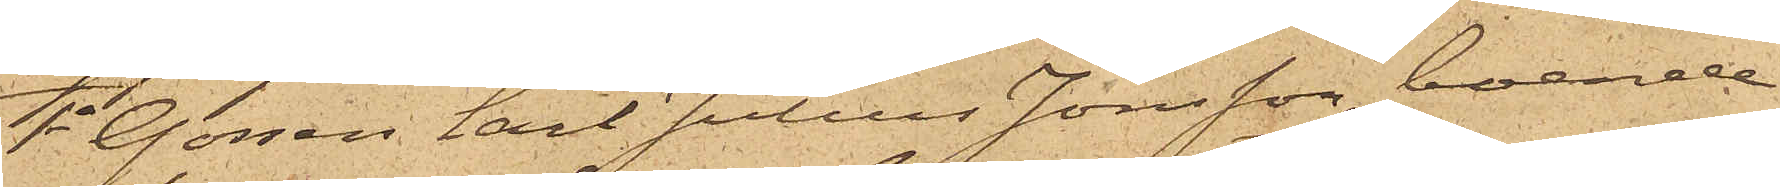1o Gossen Carl Julius Jönsson, boende
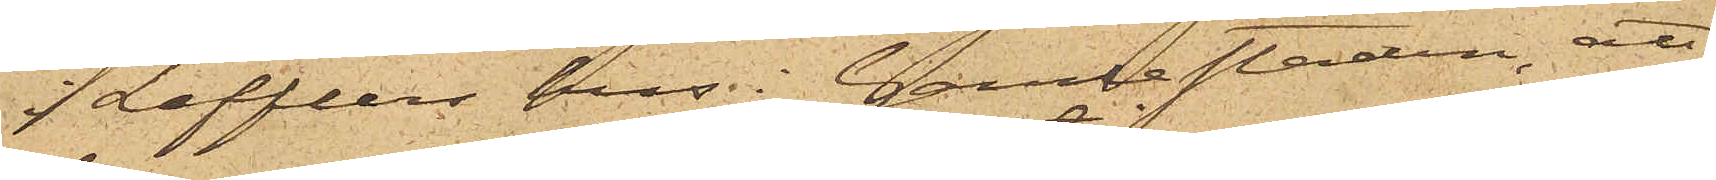i Lefflers hus i Gamlestaden, att
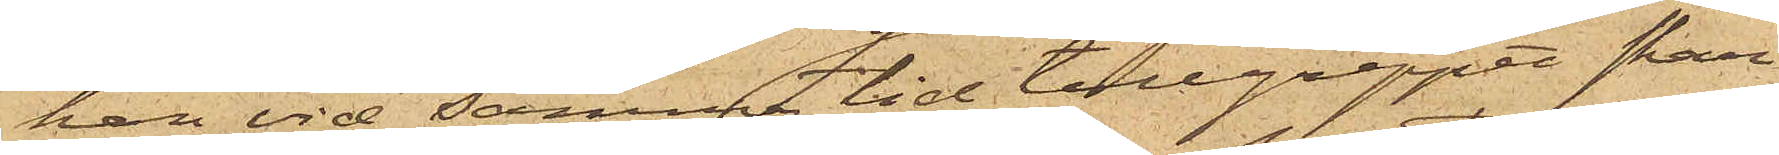han vid samma tid tillgreppet skall
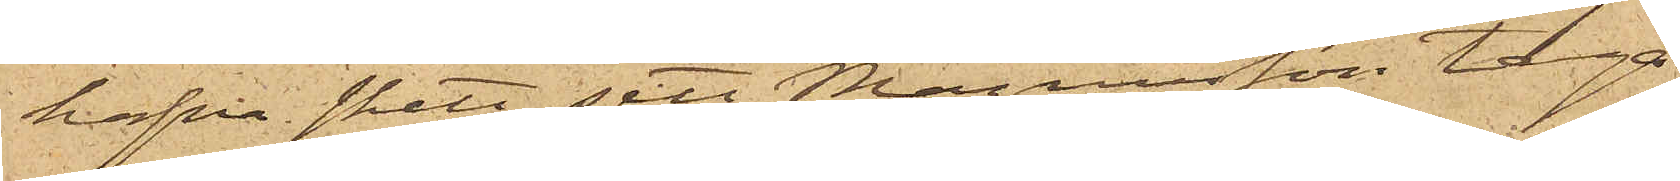hafva skett, sett Magnusson taga
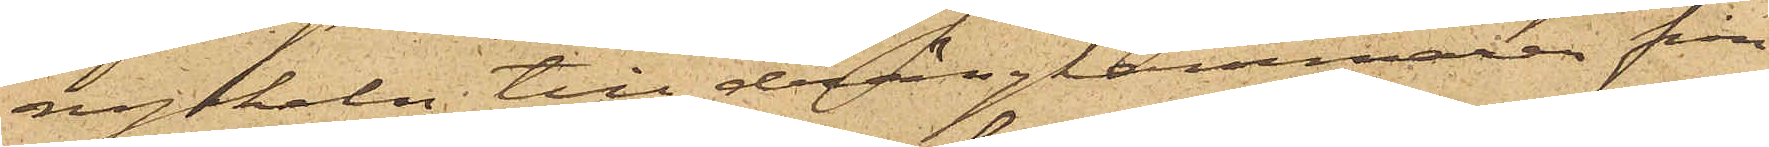nyckeln till drängkammaren från
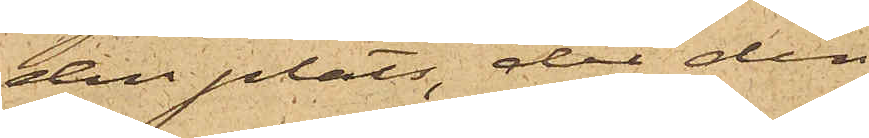den plats, der den
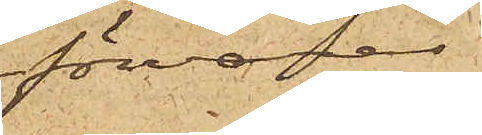förvaras
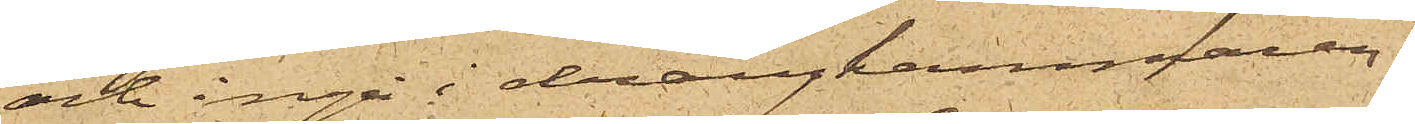och ingå i drängkammaren;
